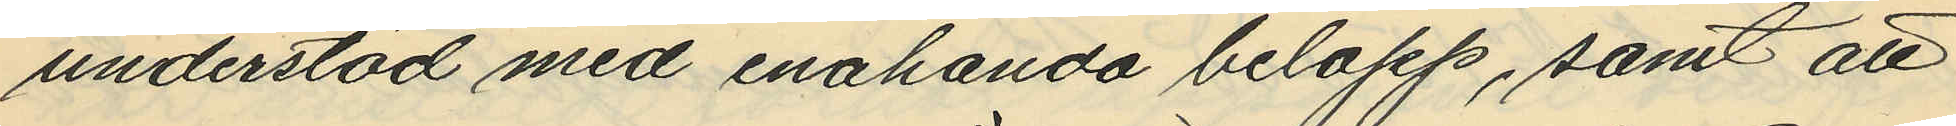understöd med enahanda belopp, samt att
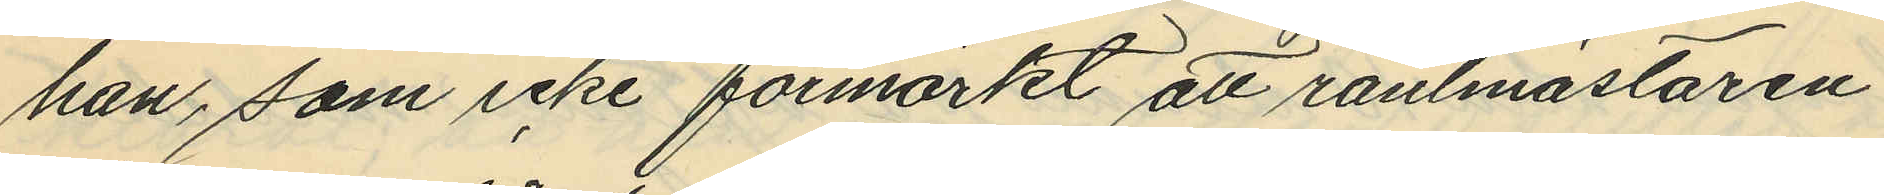han, som icke förmärkt att räntmästaren
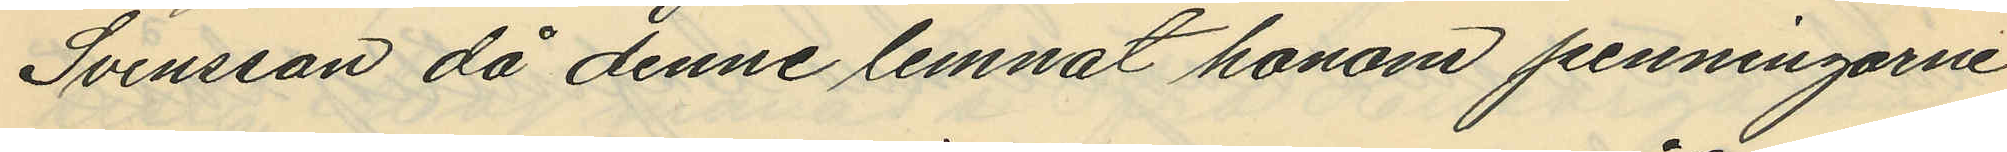Svensson då denne lemnat honom penningarne
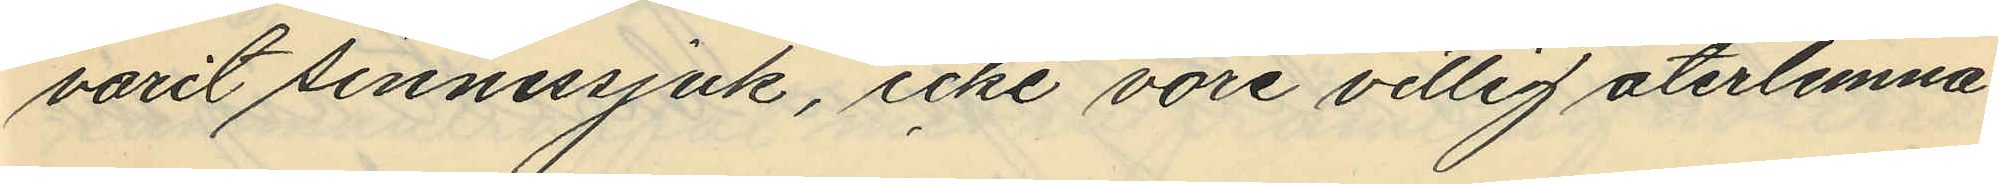varit sinnessjuk, icke vore villig återlemna
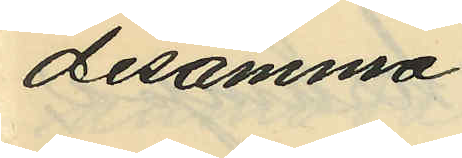desamma.
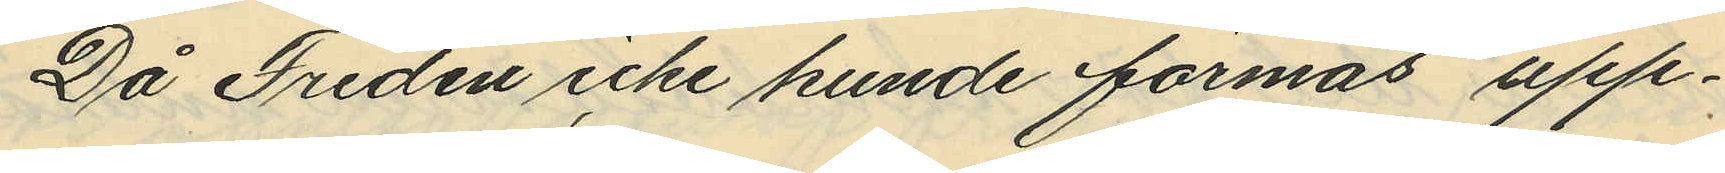Då Fredén icke kunde förmås upp¬
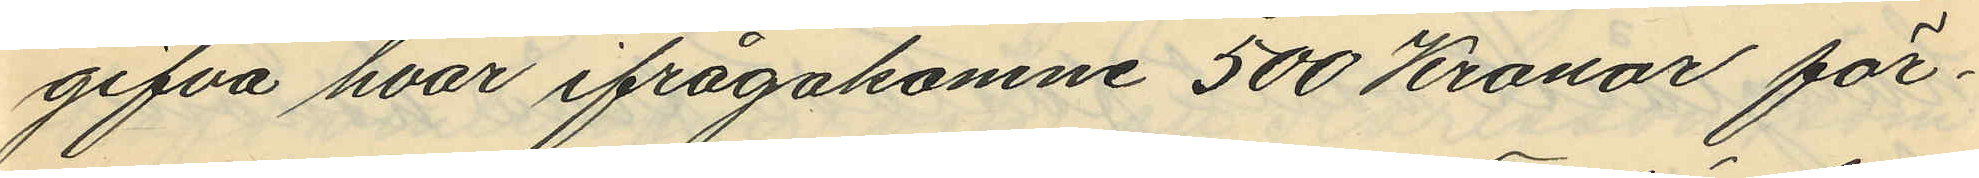gifva hvar ifrågakomne 500 Kronor för¬
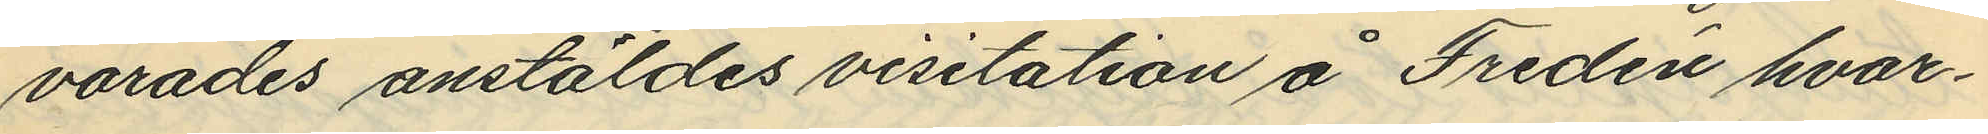varades anstäldes visitation å Fredén hvar¬
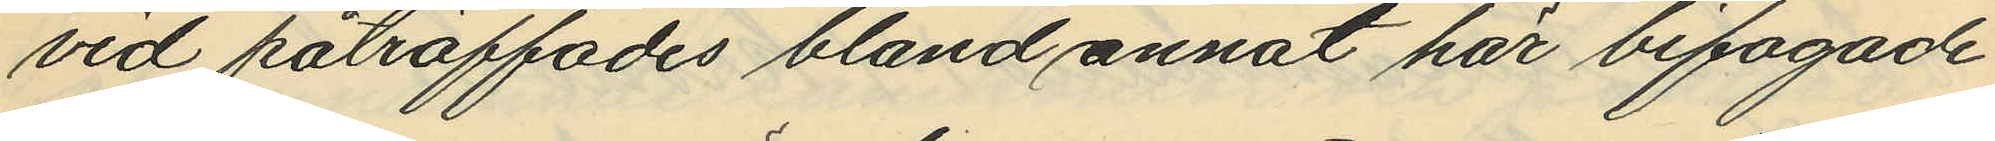vid påträffades bland annat här bifogade
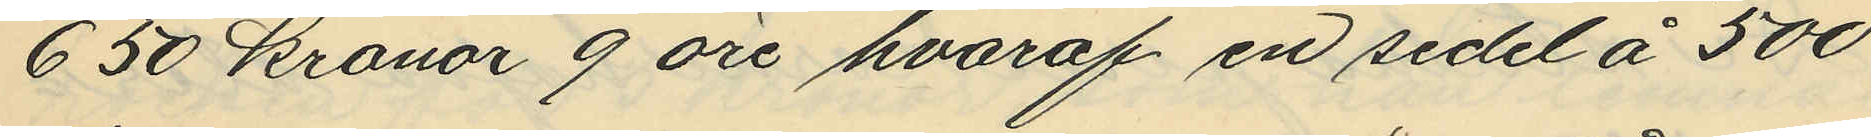650 kronor 9 öre, hvaraf en sedel å 500
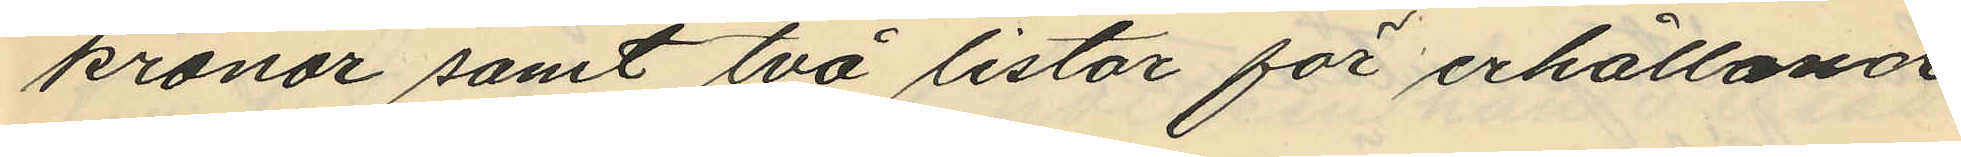kronor samt två listor för erhållande
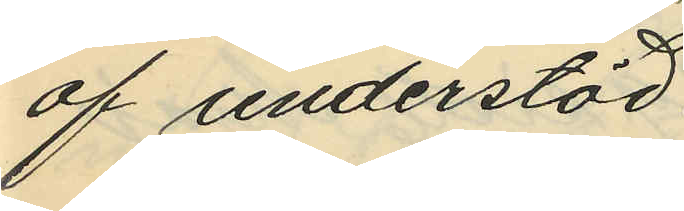af understöd.
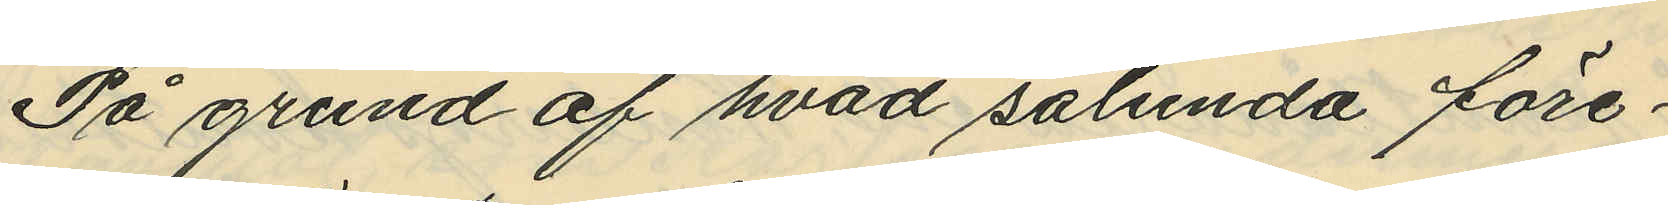På grund af hvad sålunda före¬
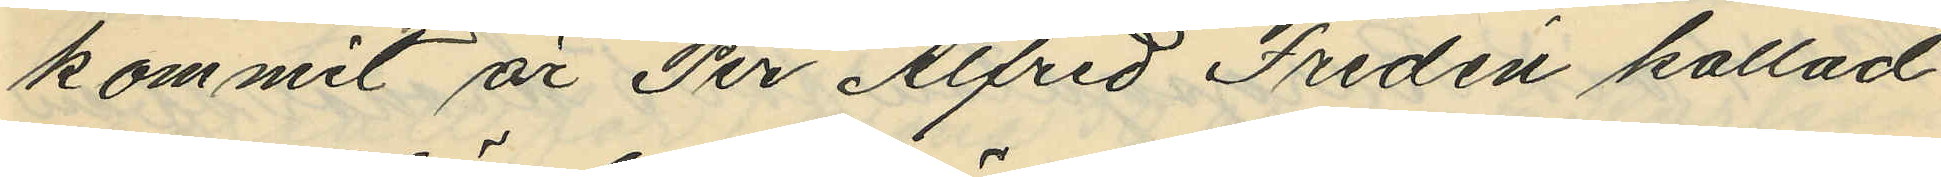kommit är Per Alfred Fredén kallad
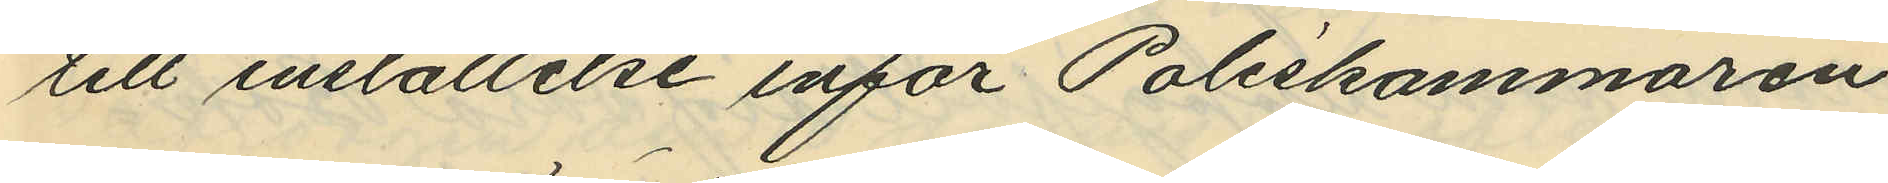till inställelse inför Poliskammaren
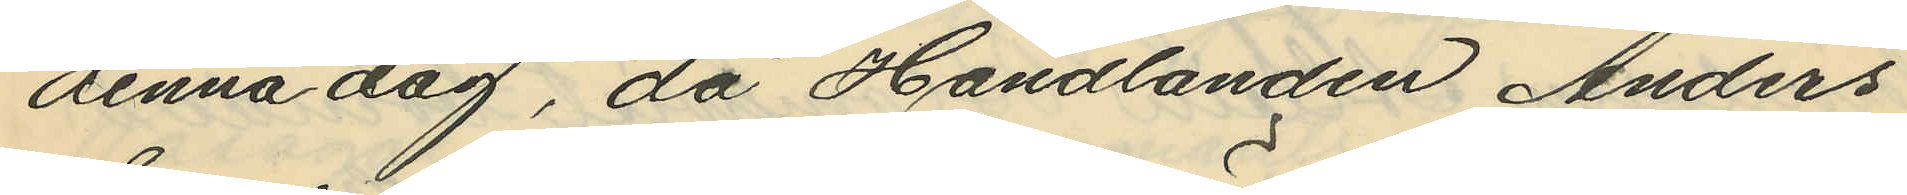denna dag, då Handlanden Anders
